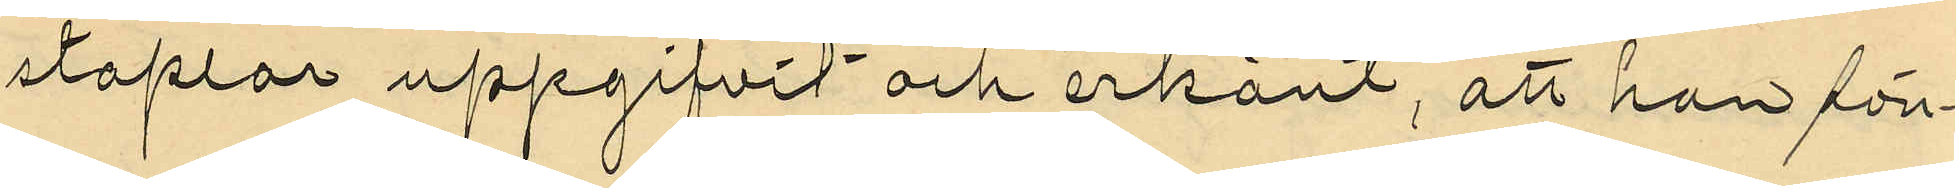staplar uppgifvit och erkänt, att han sön¬
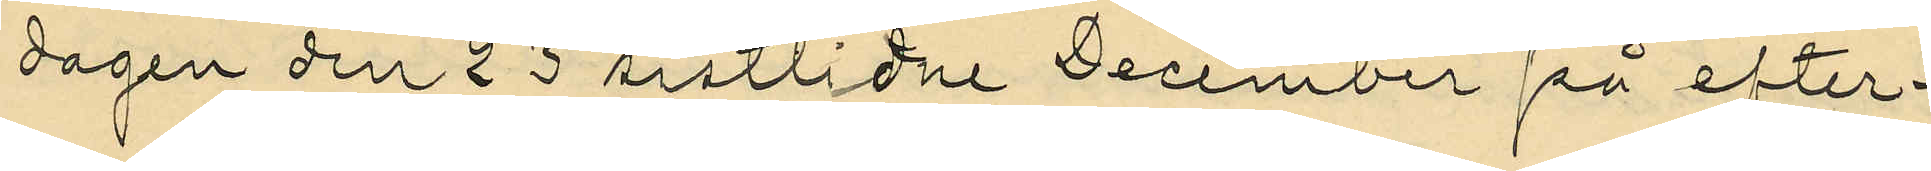dagen den 23 sistlidne December på efter¬
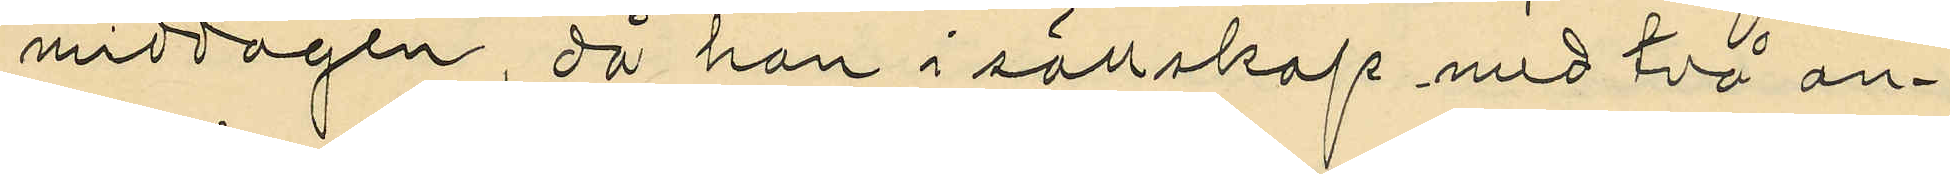middagen, då han i sällskap med två an¬
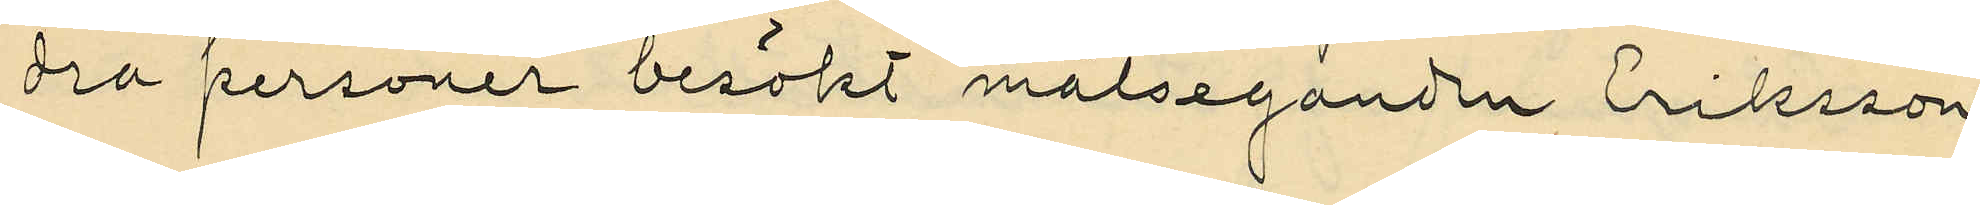dra personer besökt målseganden Eriksson
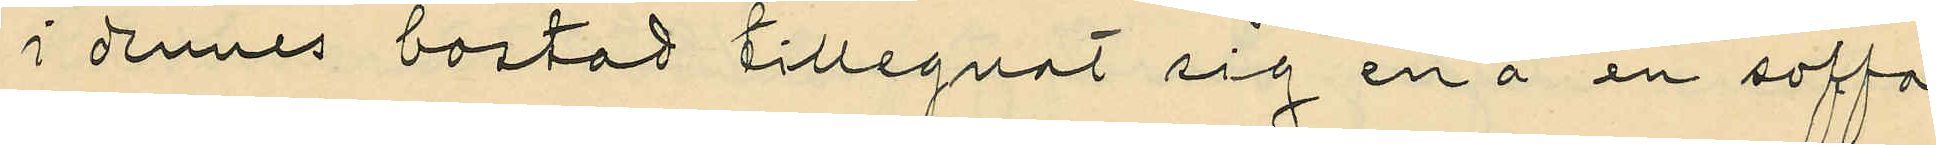i dennes bostad tillegnat sig en å en soffa
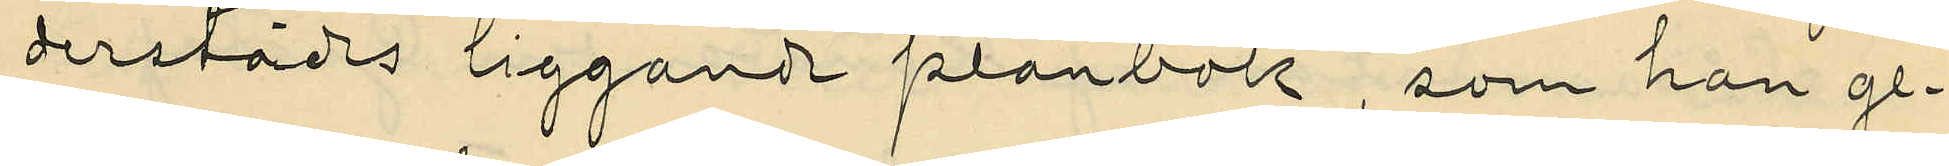derstädes liggande plånbok, som han ge¬
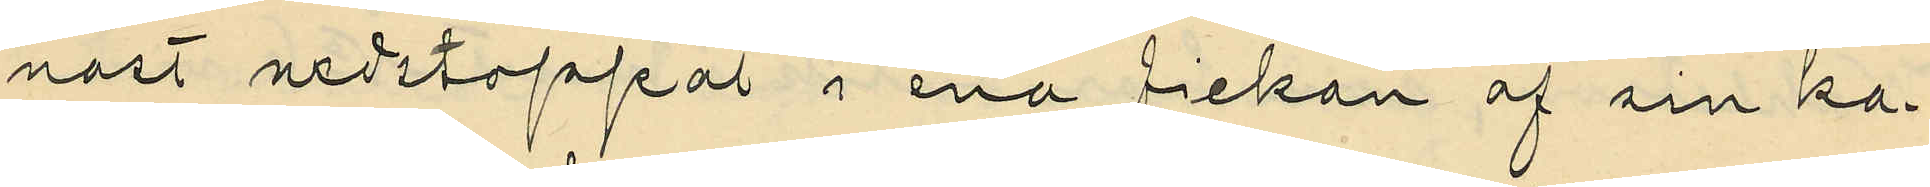nast nedstoppat i ena fickan af sin ka¬
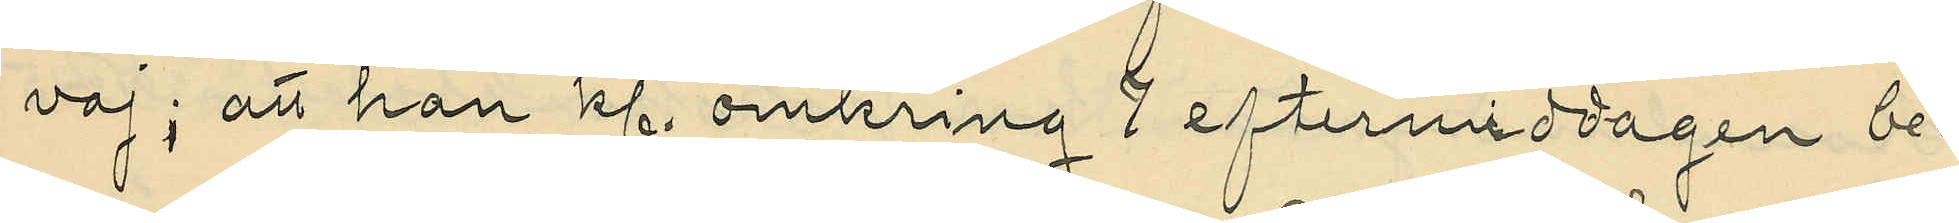vaj; att han kl. omkring 7 eftermiddagen be¬
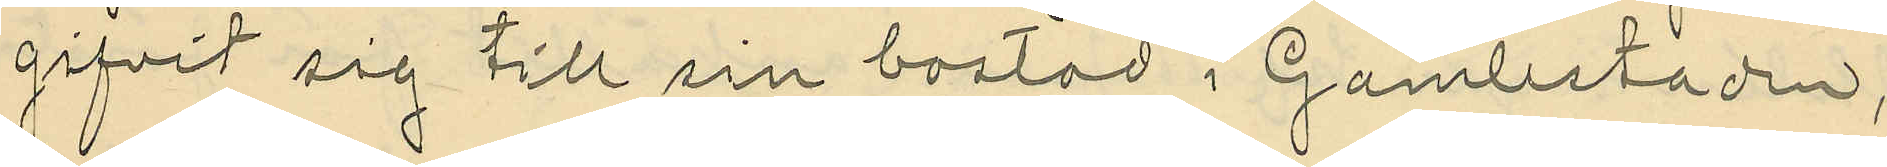gifvit sig till sin bostad i Gamlestaden,
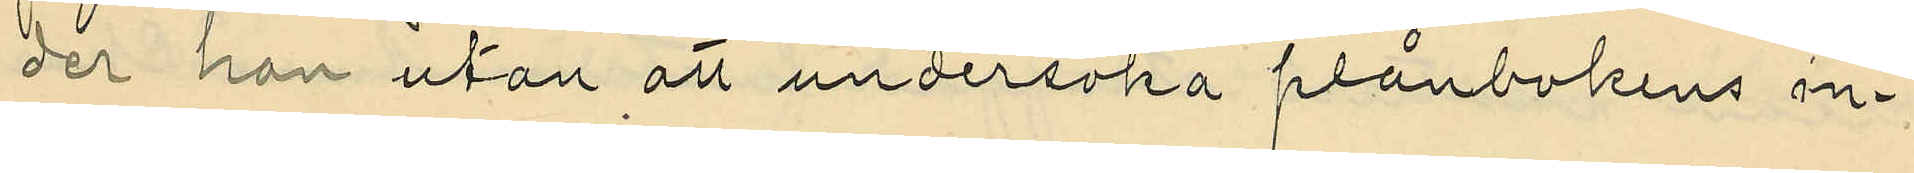der han utan att undersöka plånbokens in¬
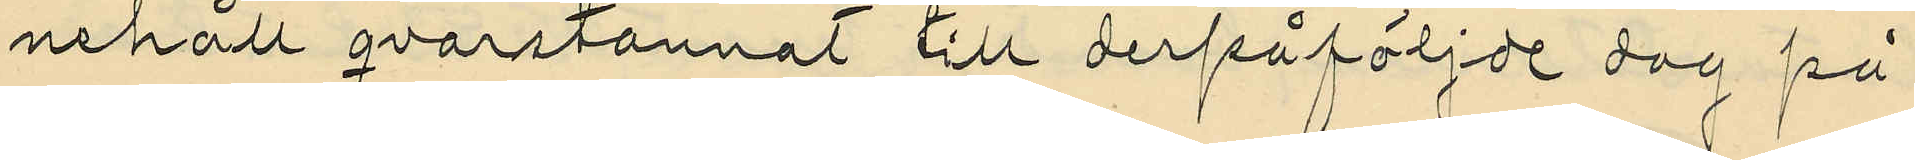nehåll qvarstannat till derpåföljde dag på
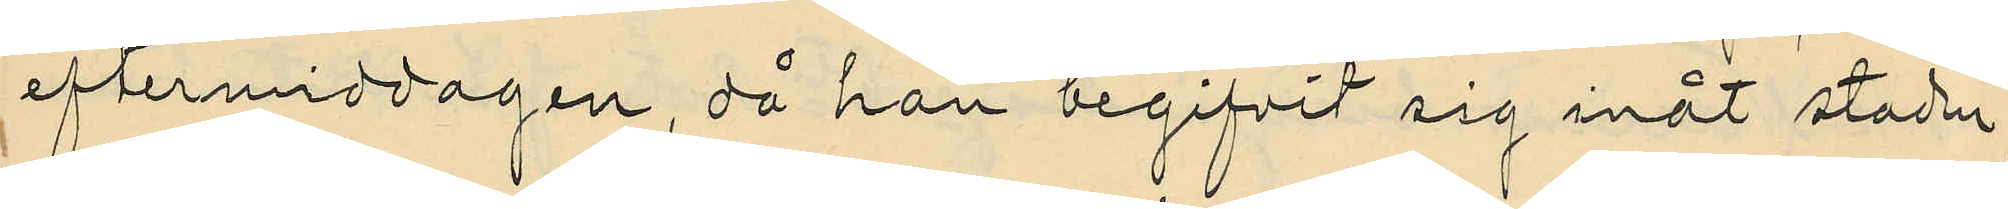eftermiddagen, då han begifvit sig inåt staden;
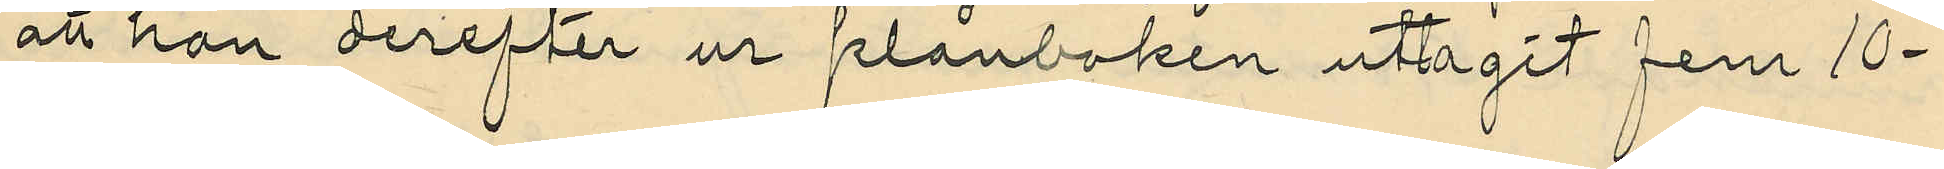att han derefter ur plånboken uttagit fem 10¬
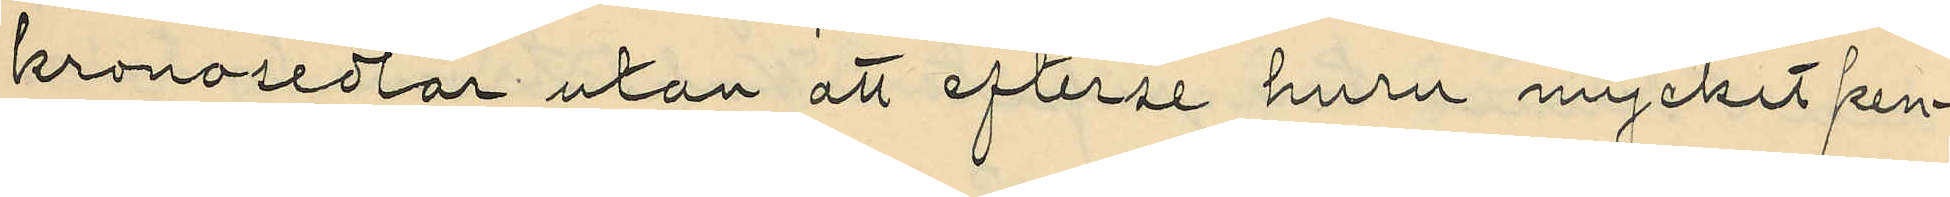kronosedlar utan att efterse huru mycket pen¬
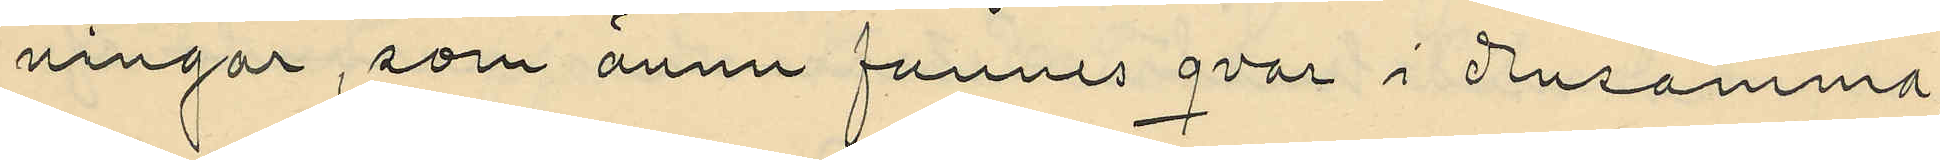ningar, som ännu funnes qvar i densamma,
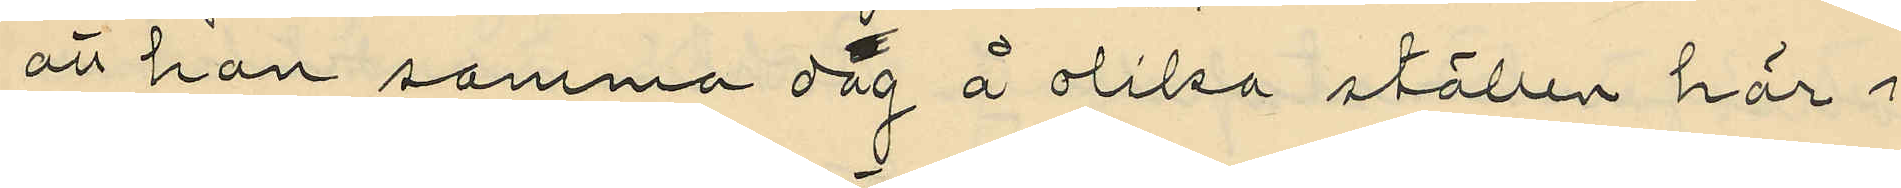att han samma dag å olika ställen här i
